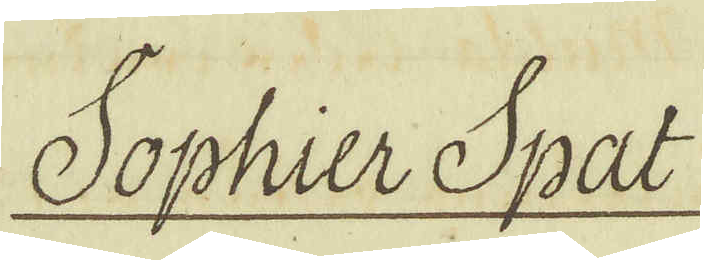Sophier Spat
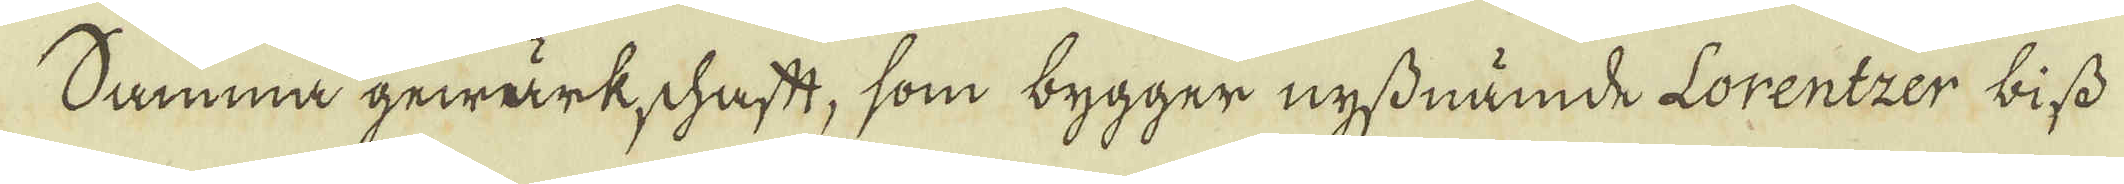Samma gewärkschaftt, som bygger nyssnämde Lorentzer biss
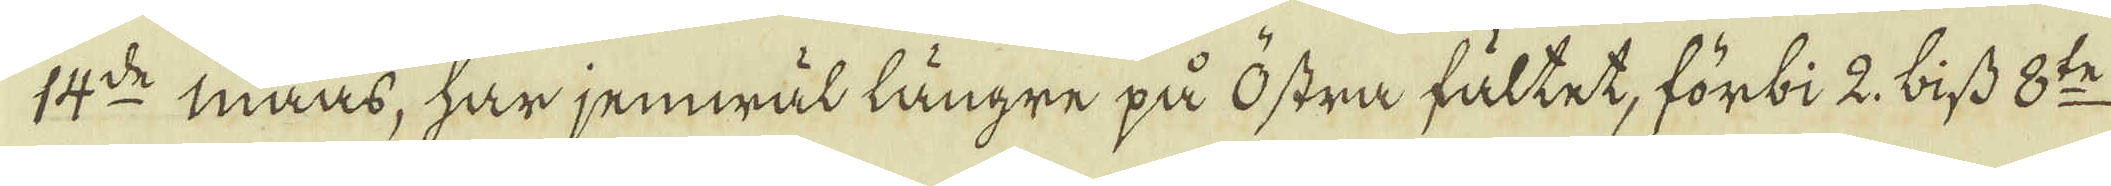14:de maas, har jemwäl längre på östra fältet, förbi 2 biss 8:te
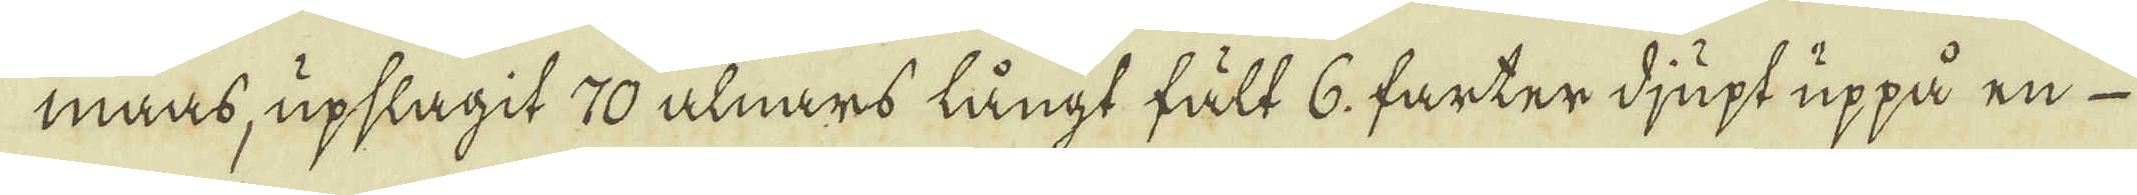maas, upslagit 70 alnars långt fält 6. farter djupt uppå en
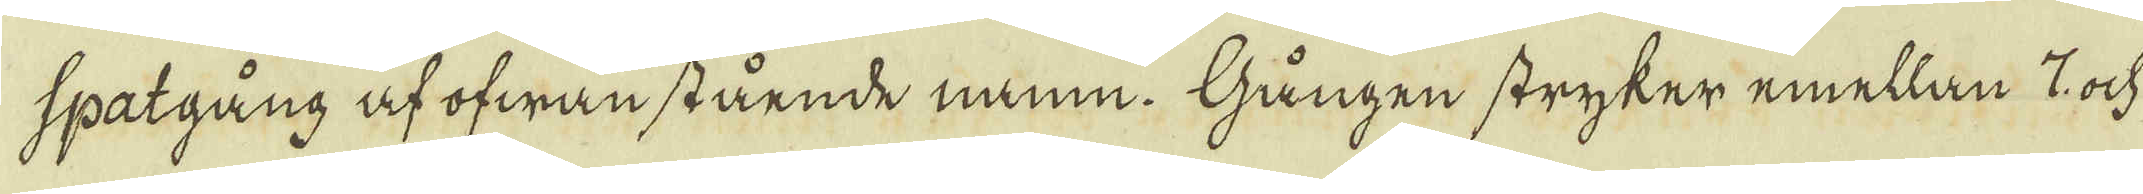spatgång af ofwanstående namn. Gången stryker emellan 7 ock
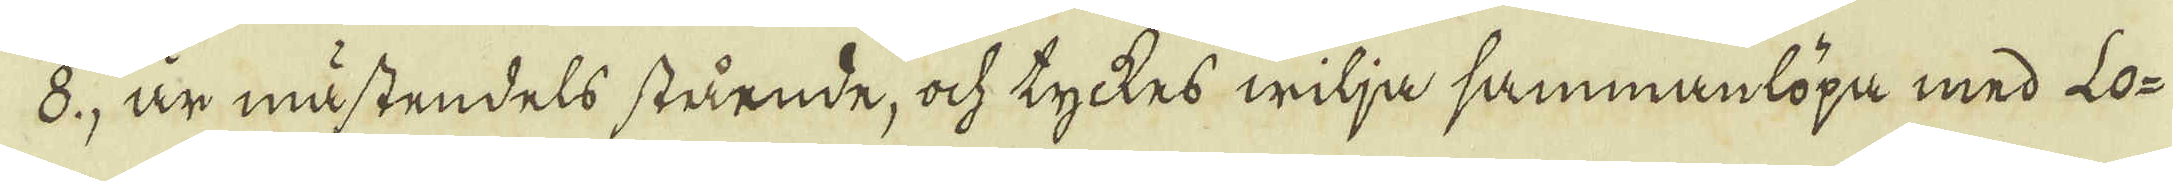8, är mästendels stående, ock tyckes wilja sammanlöpa med Lo-
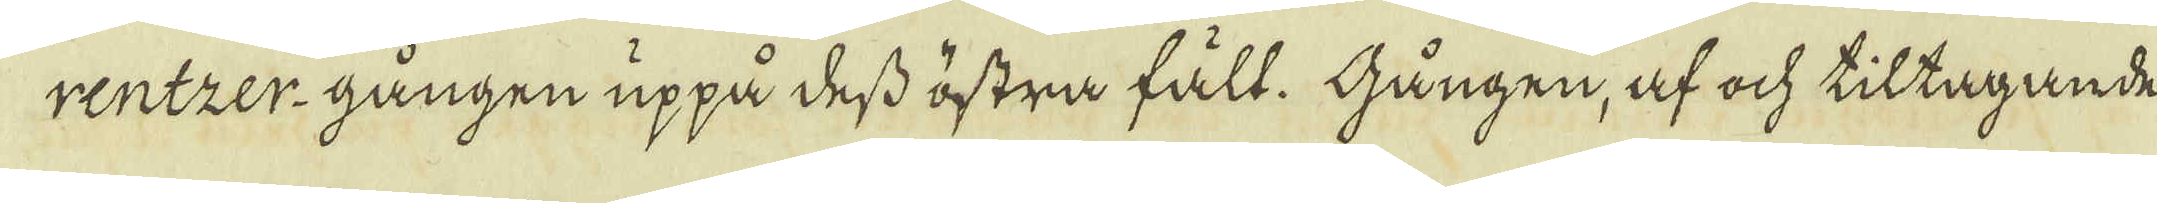rentzer-gången uppå dess östra fält. Gången, af ock tiltagande
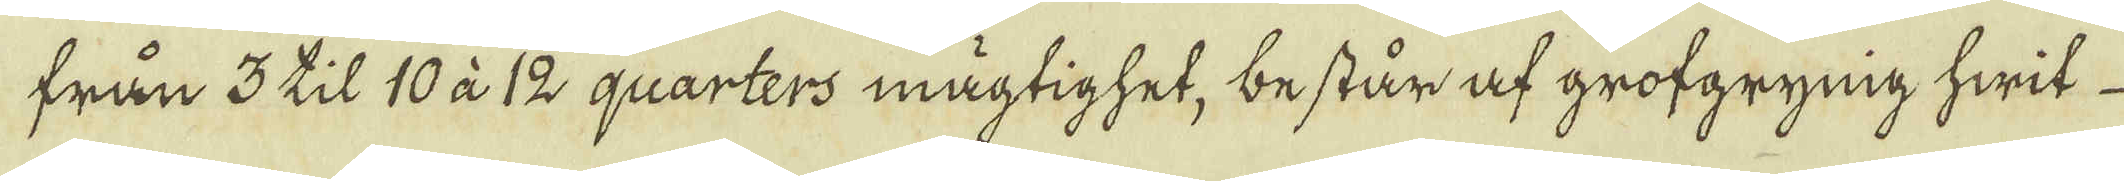från 3 til 10 à 12 quarters mägtighet, består af grofgrynig hwit
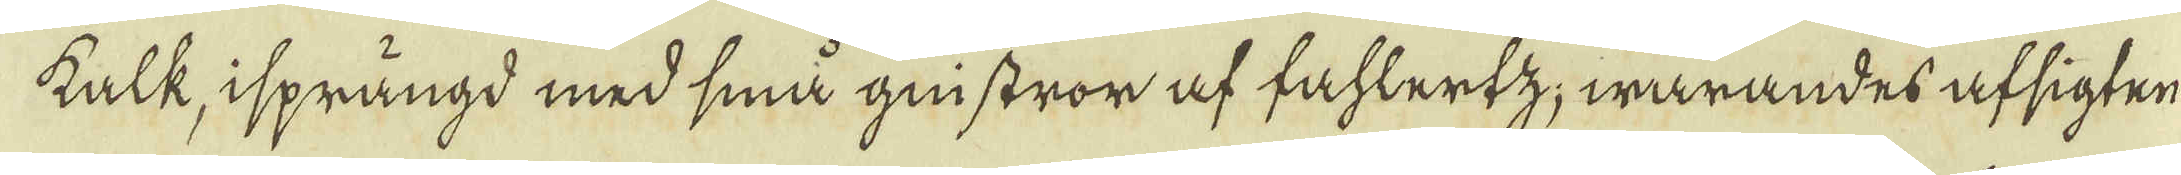kalk, isprängd med små gnistror af fahlertz; warandes afsigten
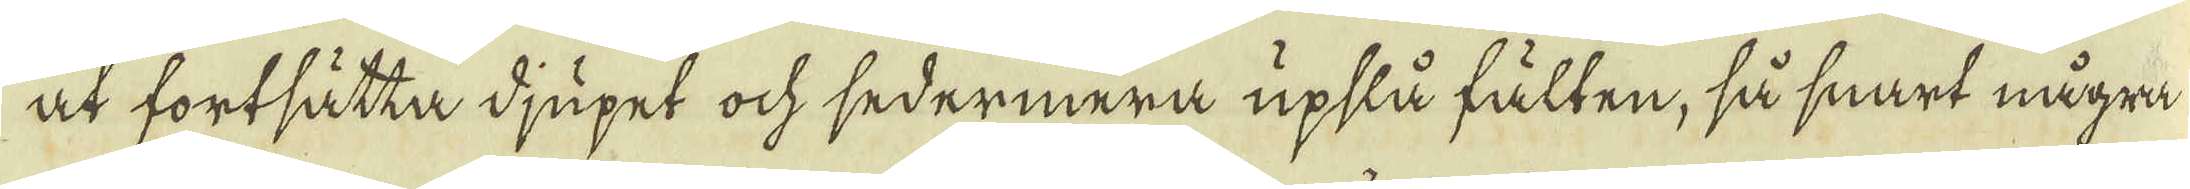at fortsätta djupet ock sedermera upslå fälten, så snart några
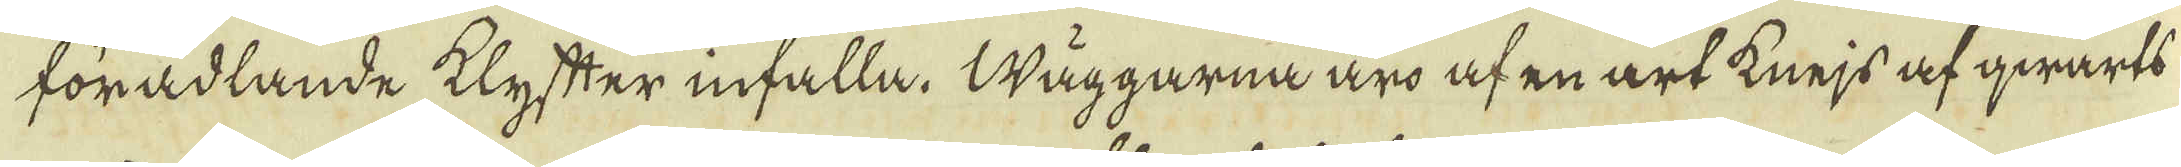förädlande klyfter infalla. Wäggarna äro af en art knejs af qwarts
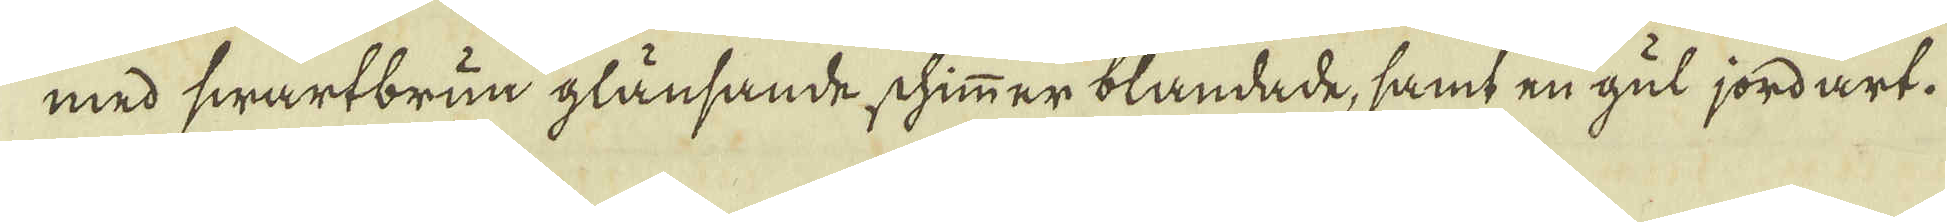med swartbrun glänsande schimmer blandade, samt en gul jordart.
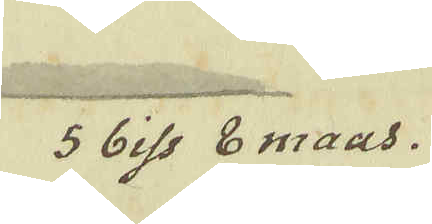5 biss 8 maas.
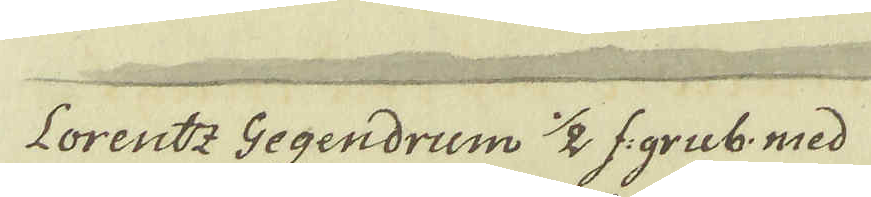Lorentz Gegendrum 1/2 f:grub. med
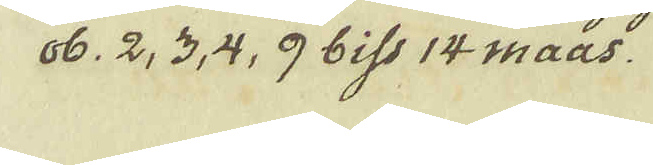ob. 2, 3, 4, 9 biss 14 maas.
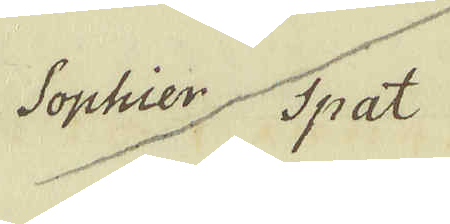Sophier Spat
